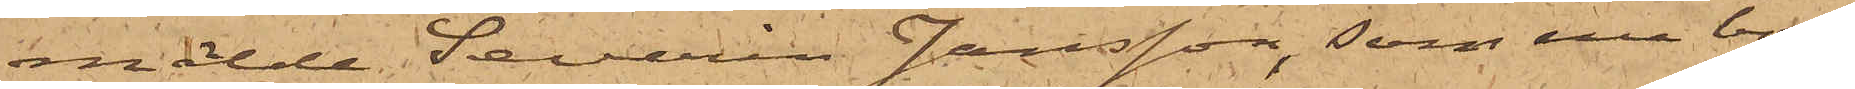mälde Severin Jansson, som nu bor
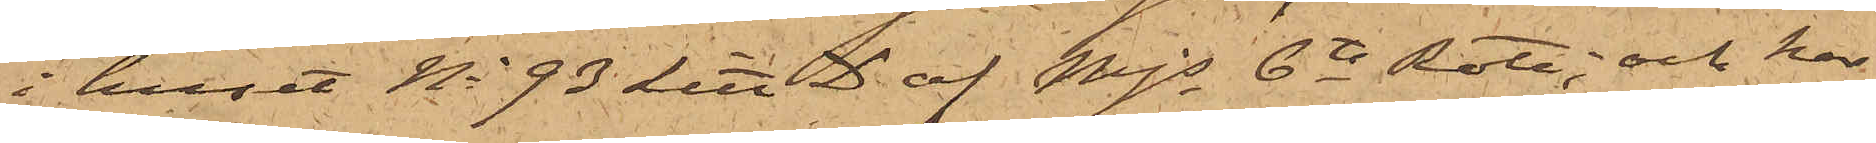i huset No 93 Litt D af Mjs 6te Rote; och har
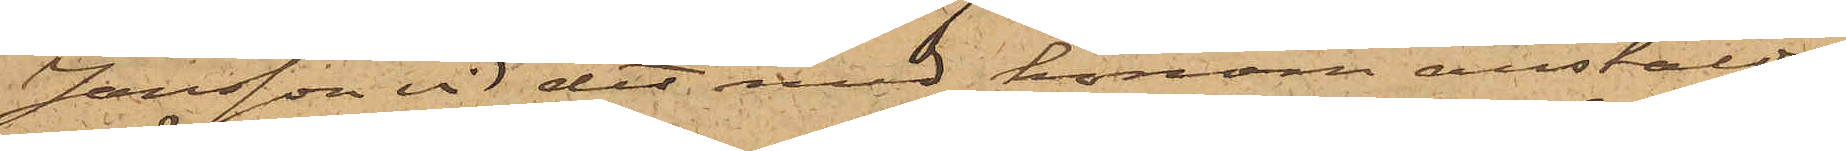Jansson vid det med honom anstälda
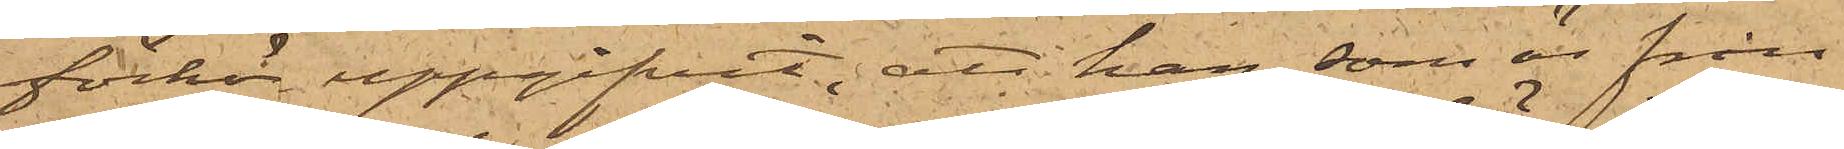förhör uppgifvit; att han, som är från
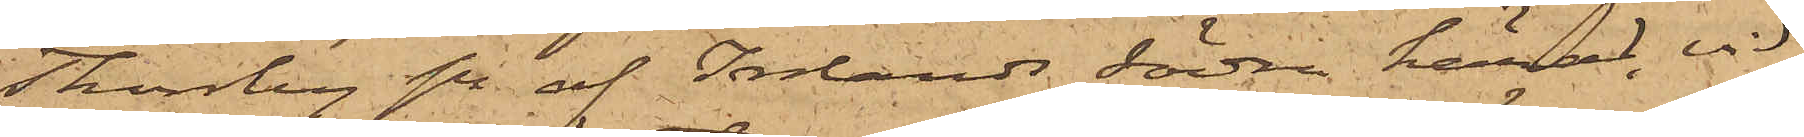Thorsby sn af Inlands södra härad, vid
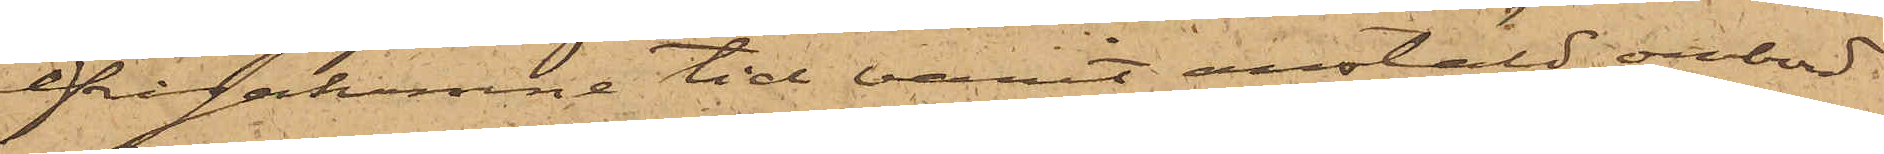ifrågakomne tid varit anstäld ombord
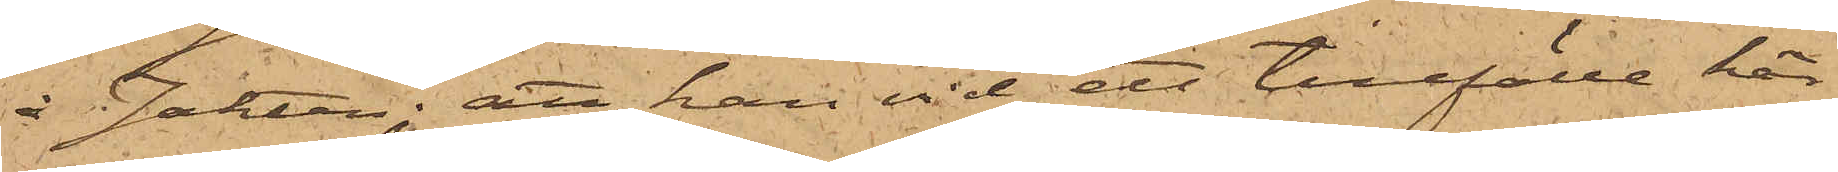å Jakten; att han vid ett tillfälle här
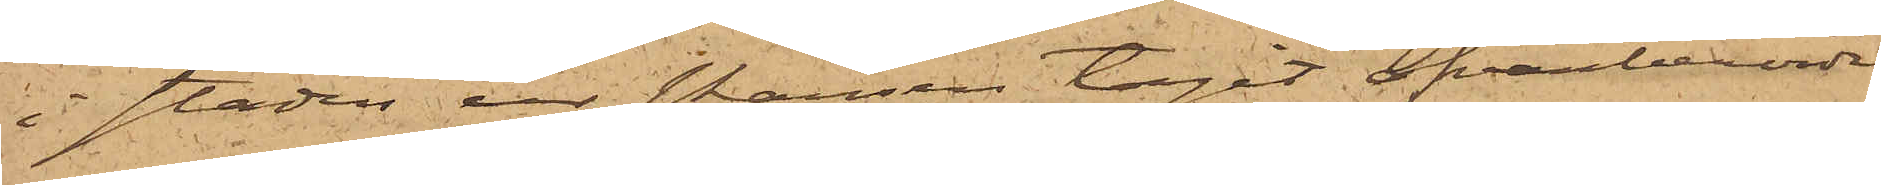i staden ur skansen tagit ofvanberörde
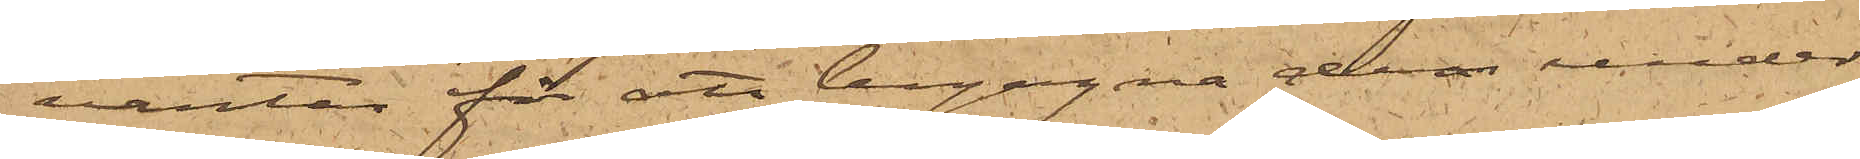vantar för att begagna dem under
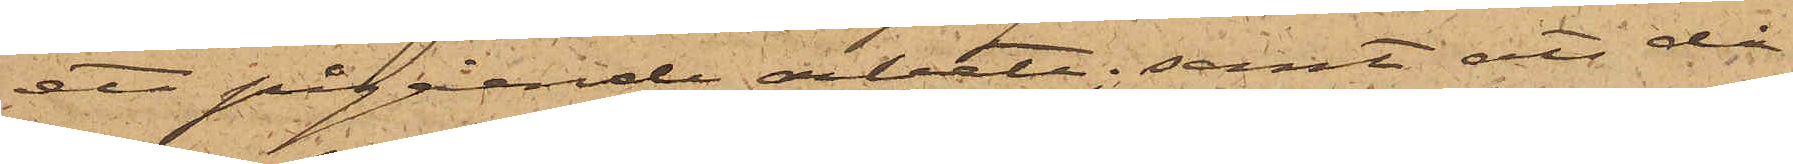ett pågående arbete; samt att då
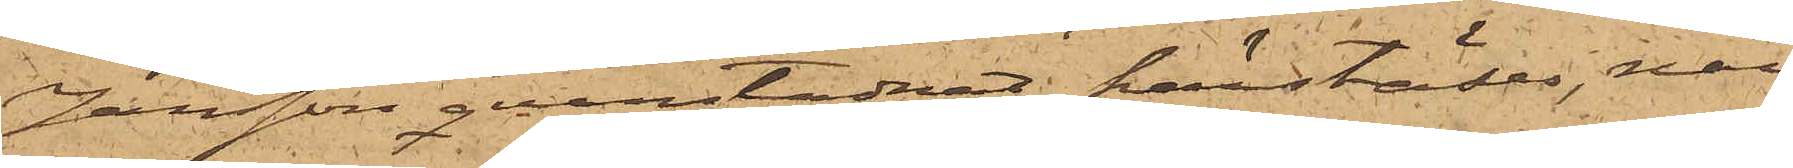Jansson qvarstadnat härstädes, när
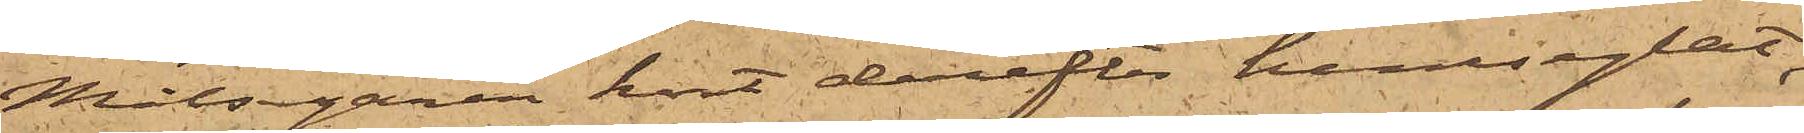Målsegaren kort derefter hemseglat,
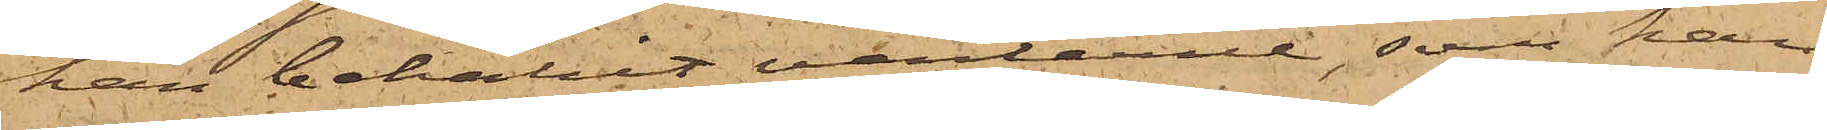han behållit vantarne, som han
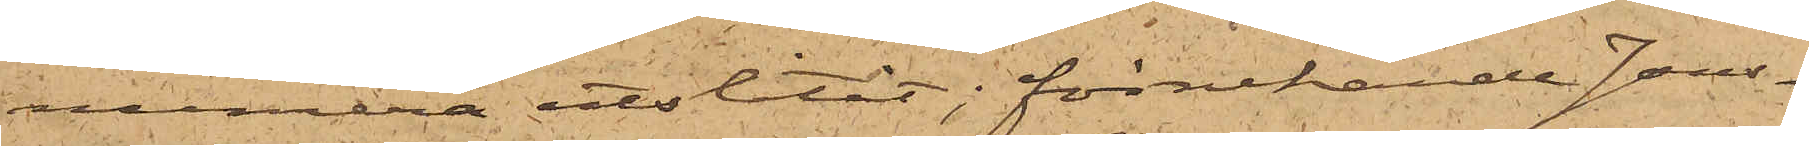numera utslitit; förnekande Jans¬
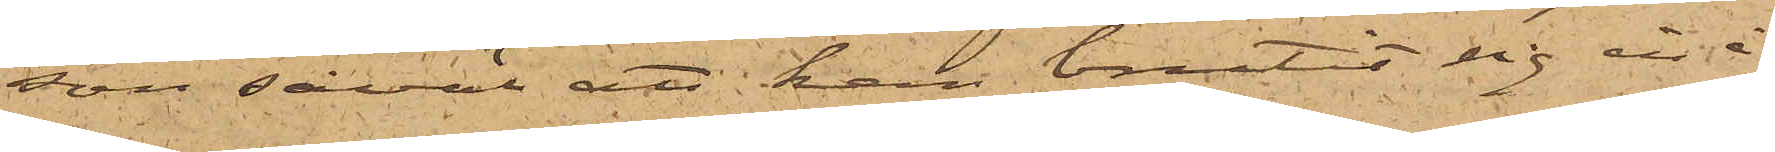son såväl att han brutit sig in å
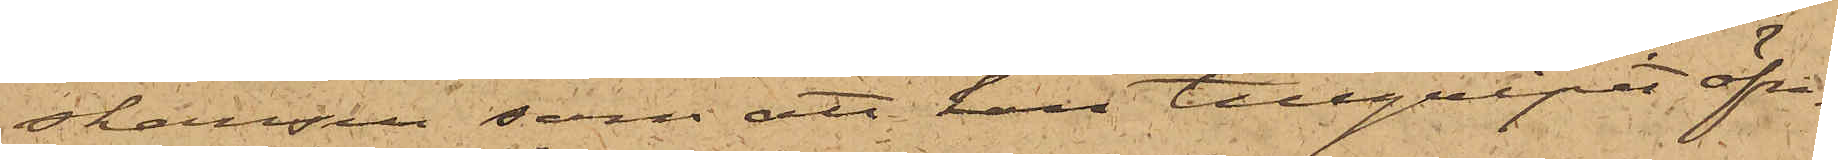skansen, som att han tillgripit öfri¬
